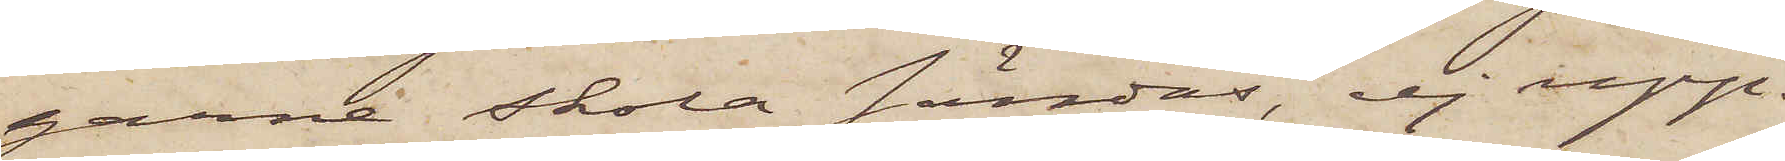garne skola sändas, ej upp¬
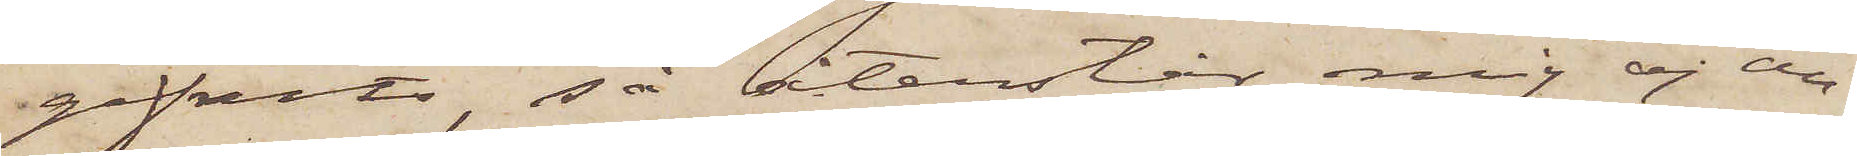gifvits, så återstår mig ej an¬
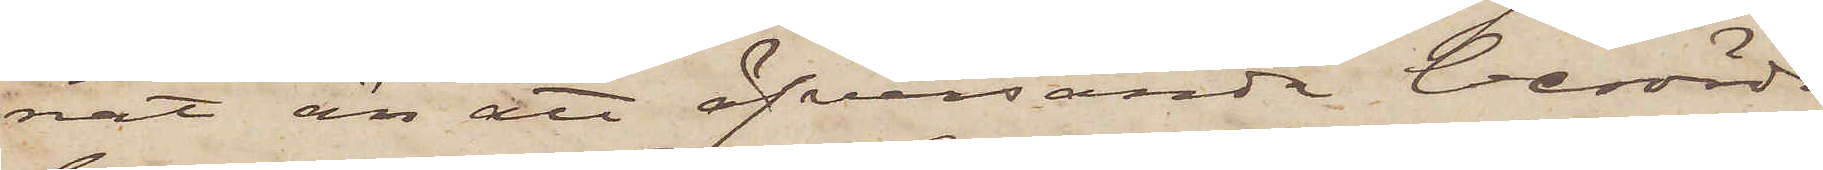nat än att öfversända berörde
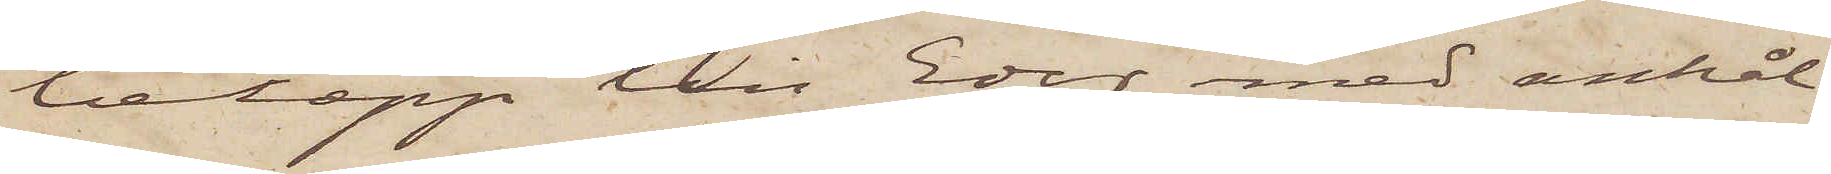belopp till Eder med anhål¬
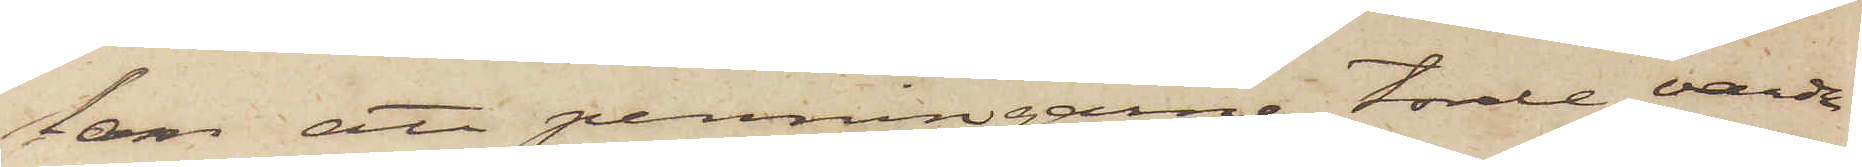lan att penningarne torde varda
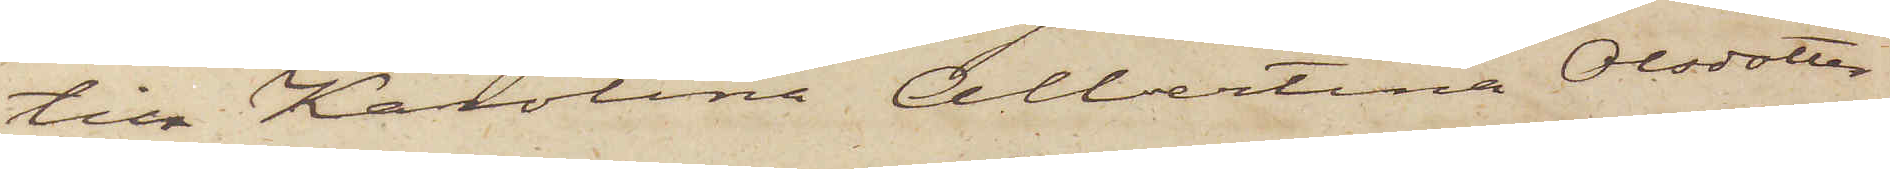till Karolina Albertina Olsdotter
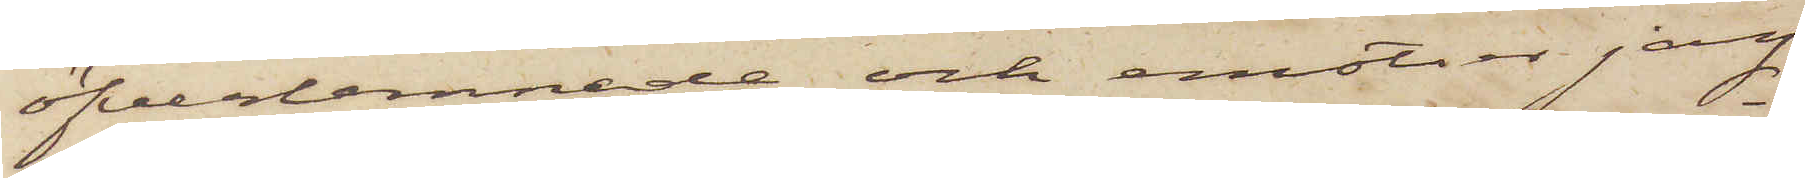öfverlemnade och emotser jag
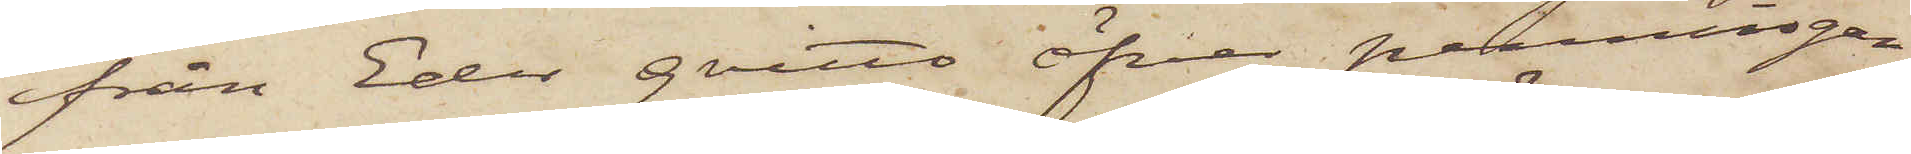från Eder qvitto öfver penningar¬
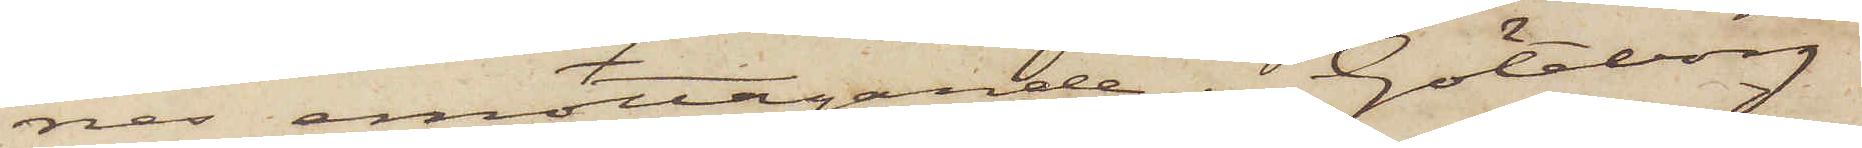nes emottagande. Göteborg
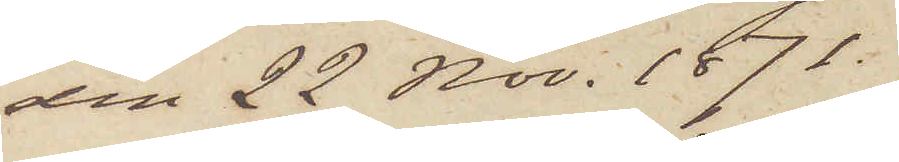den 22 Nov. 1871.
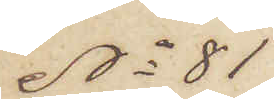No 81
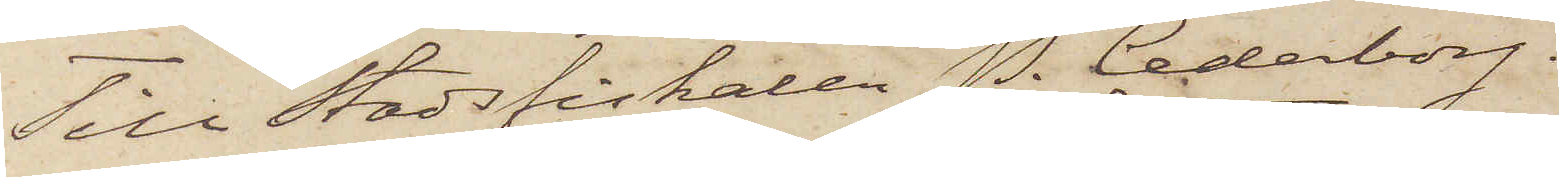Till Stadsfiskalen P. Cederborg,
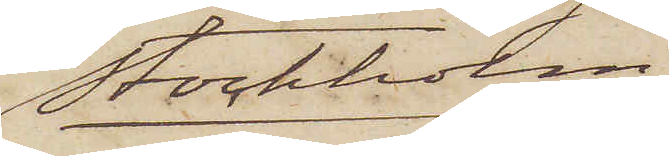Stockholm
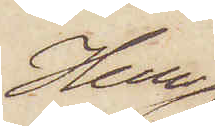Herr
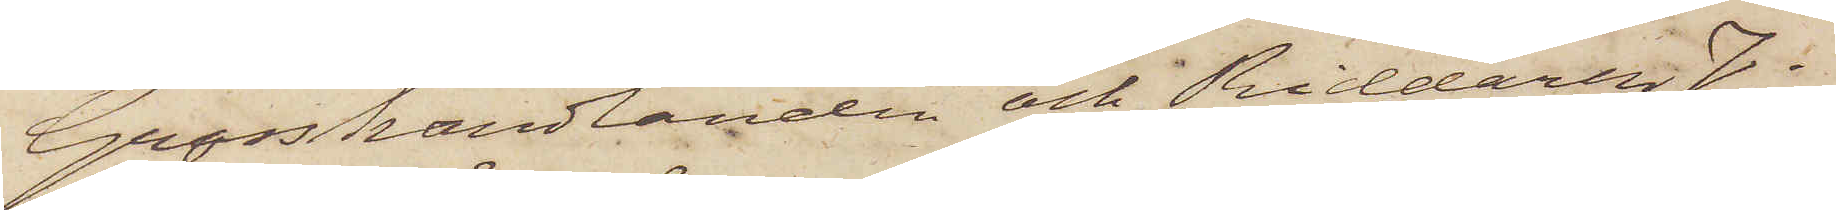Grosshandlanden och Riddaren J.
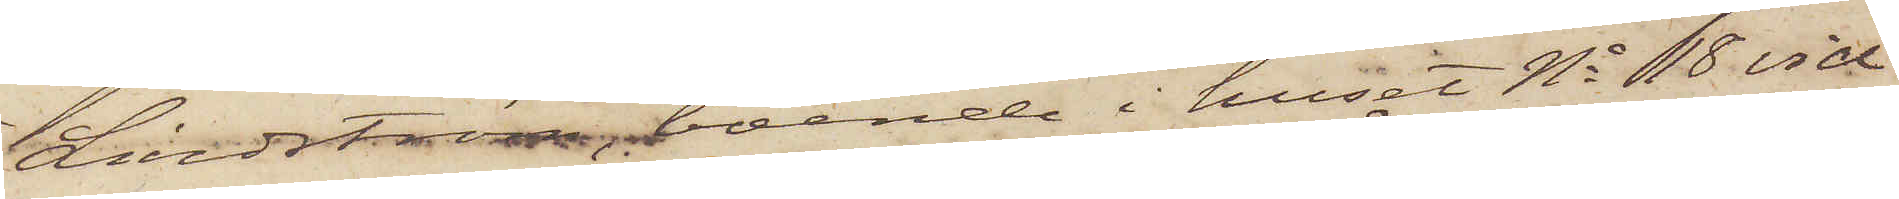Lindström boende i huset No 18 vid
